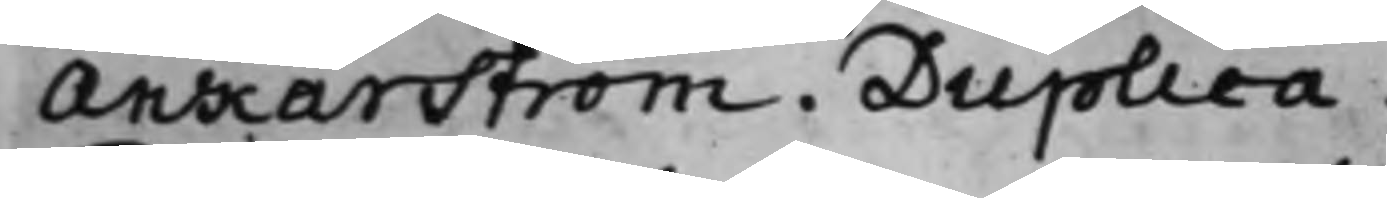Ankarström. Duplica.
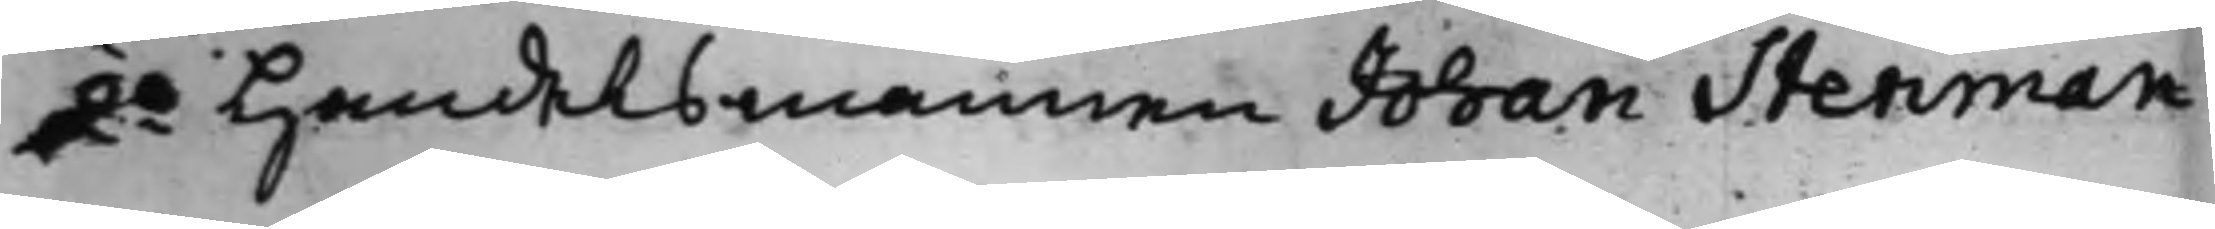2o Handelsmannen Johan Stenman
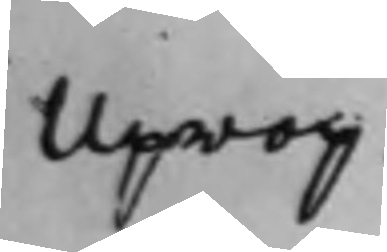Uprop
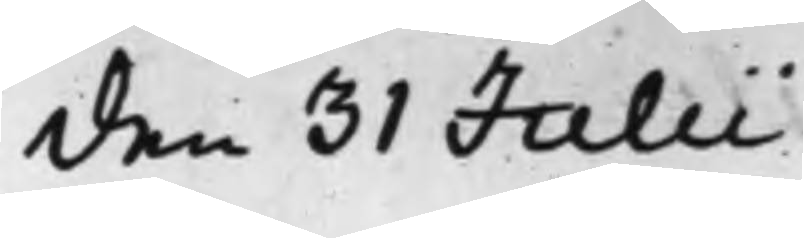den 31 Julii
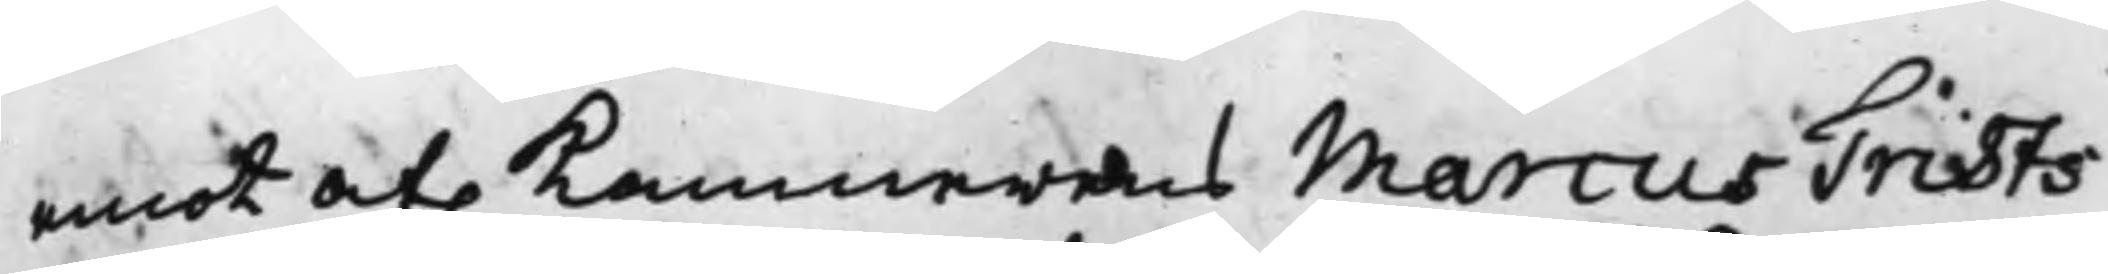emot af. Kammererens Marcus Trists
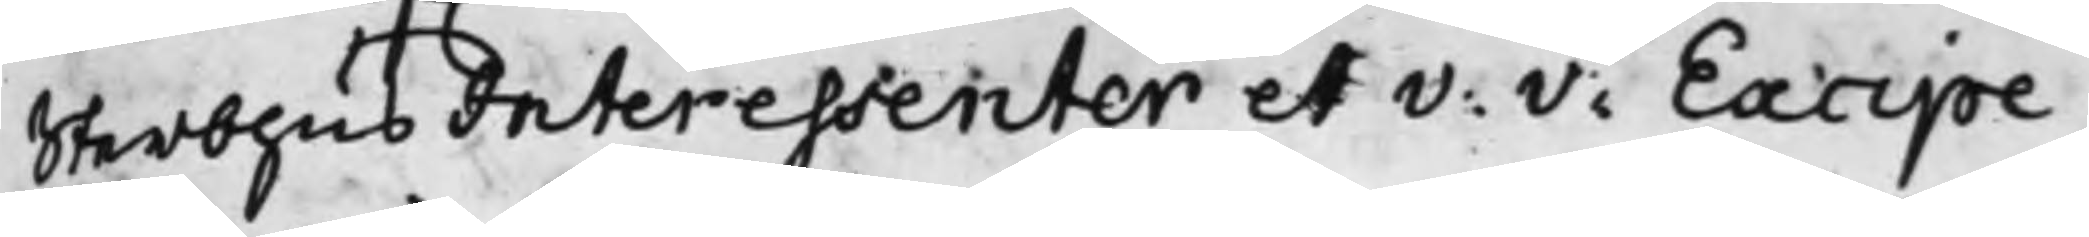SterbhusInteressenter et V: V: Excipe¬
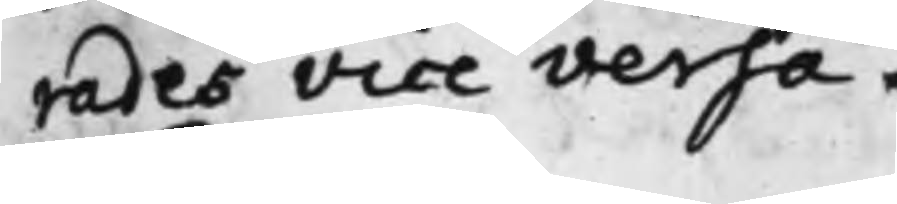rades Vice Versa.
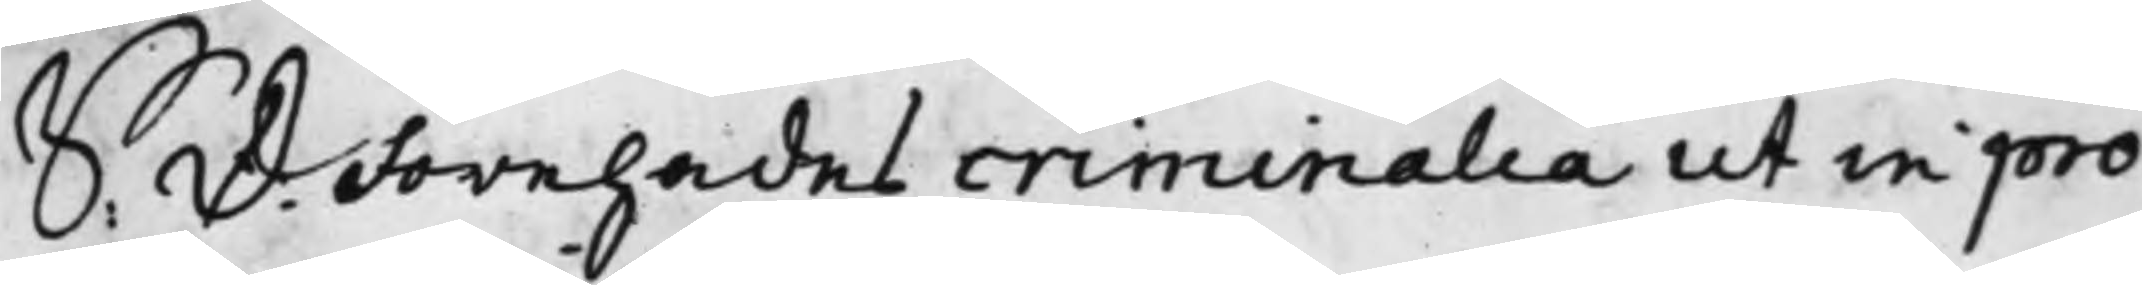S: D: Förehades criminalia ut in pro¬
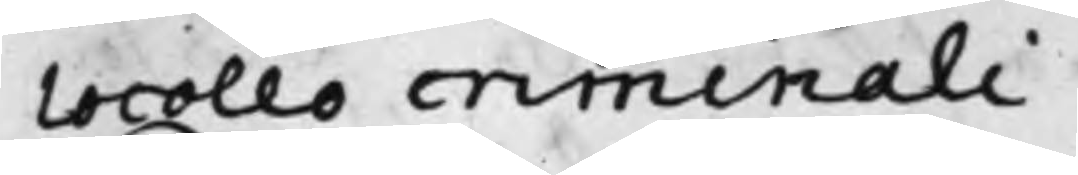tocollo criminali.
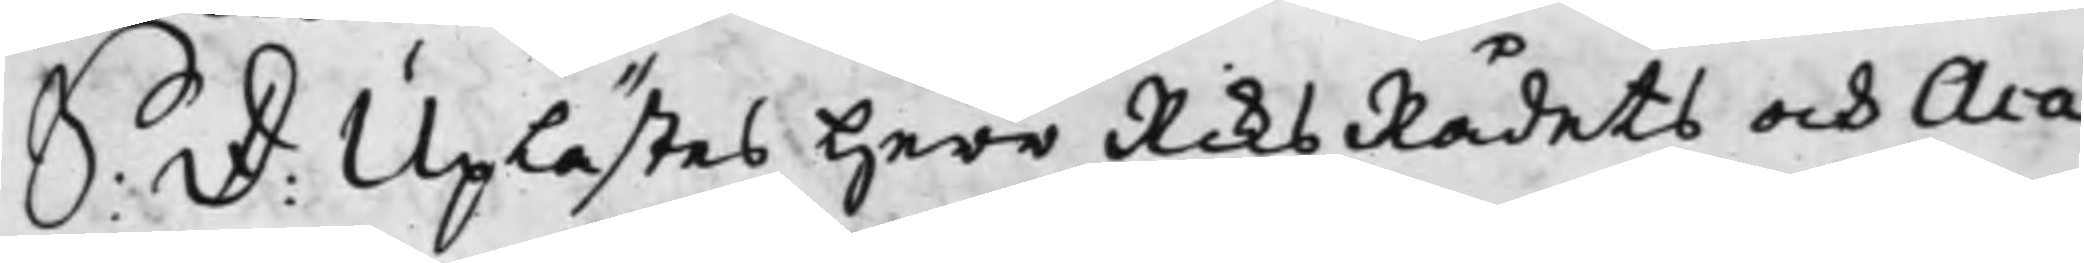S: D: Uplästes Herr RiksRådets och Aca¬
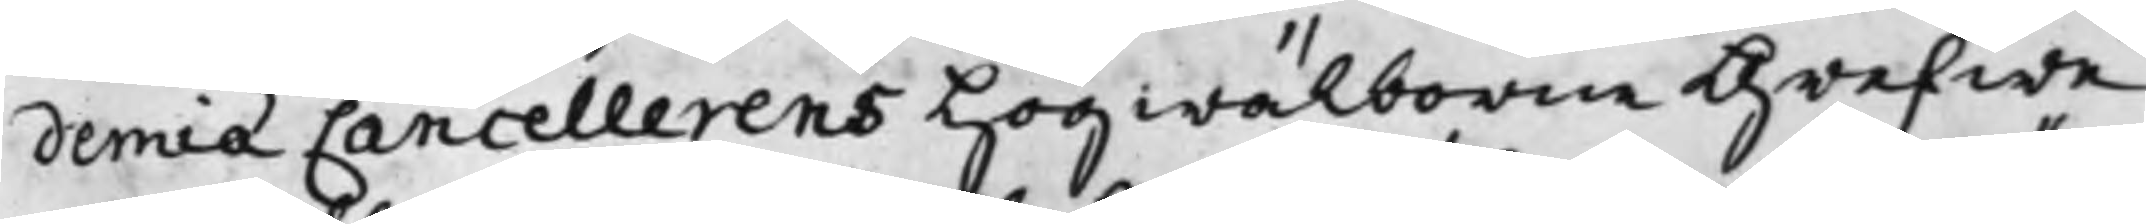demiæ Cancellerens Högwälborne Grefwe
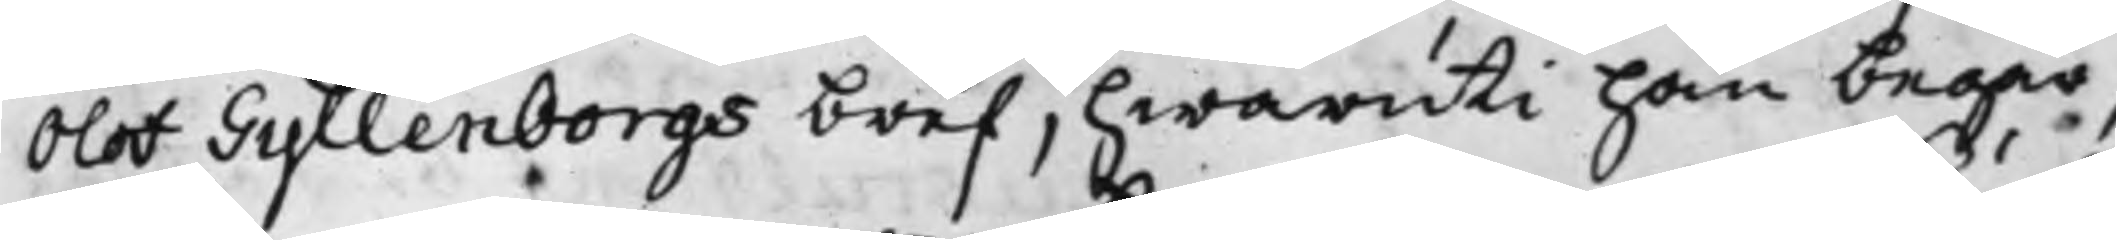Olof Gyllenborgs bref, hwaruti han begär,
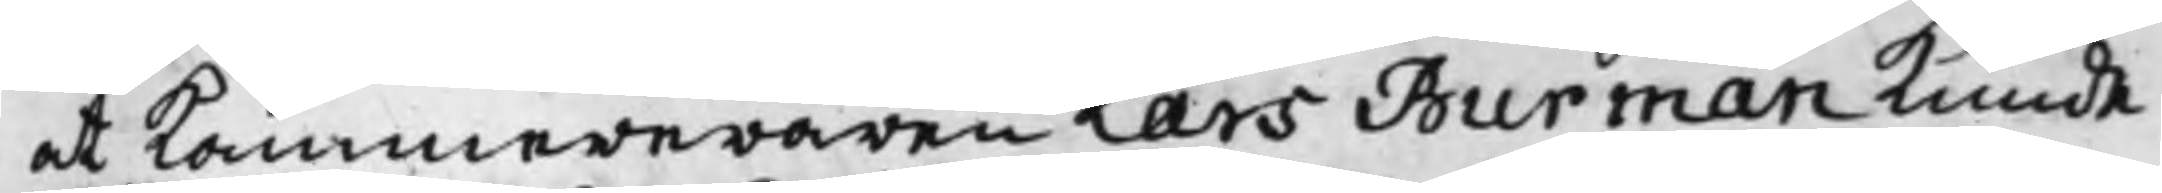at Kammereraren Lars Burman kunde
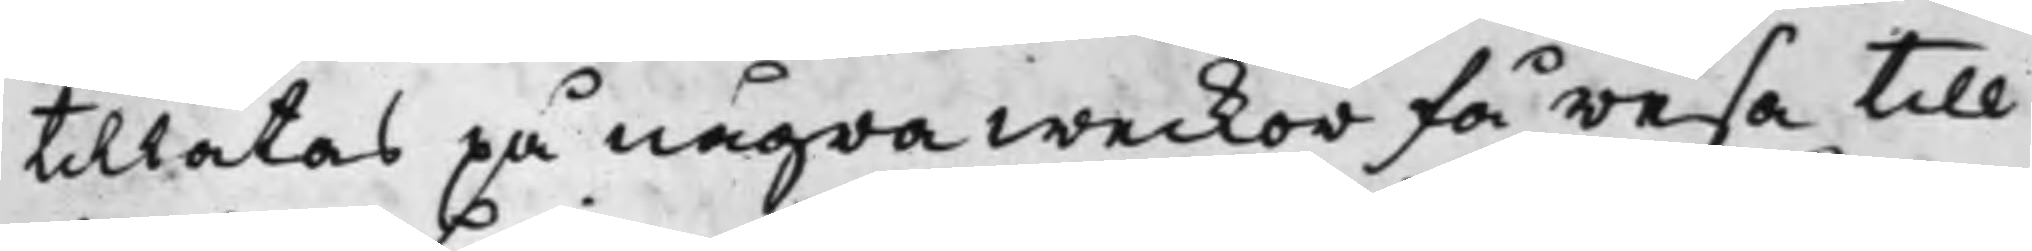tillåtas på några weckor få resa till
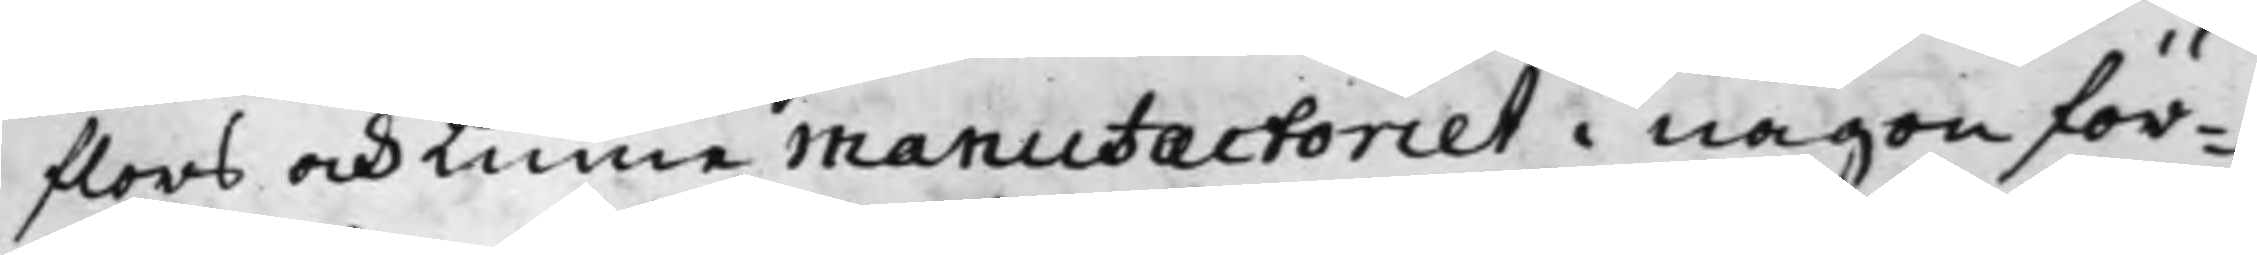flors och Linne Manufactoriet i någon för¬
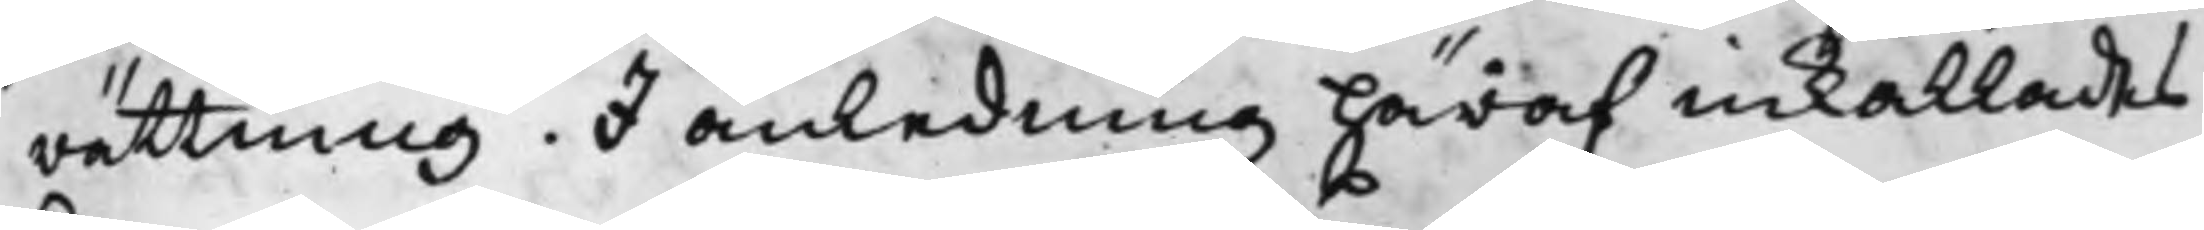rättning. I anledning häraf inkallades
